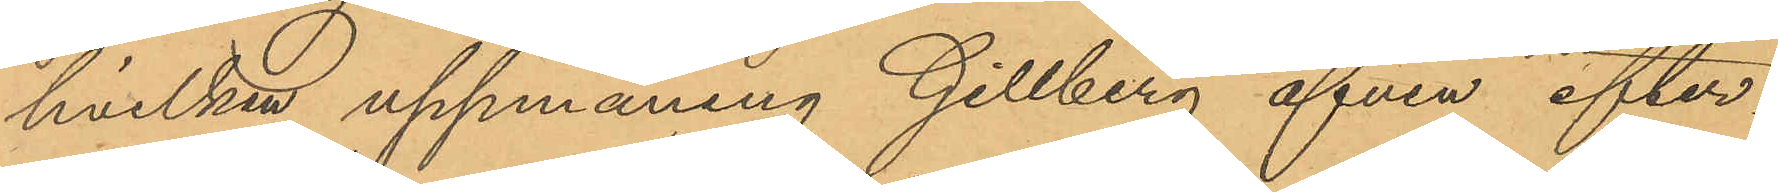hvilken uppmaning Gillberg äfven efter¬
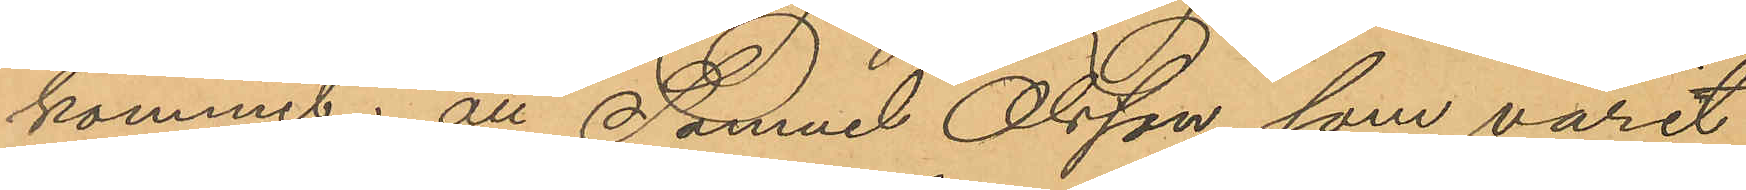kommit; att Samuel Olsson, som varit
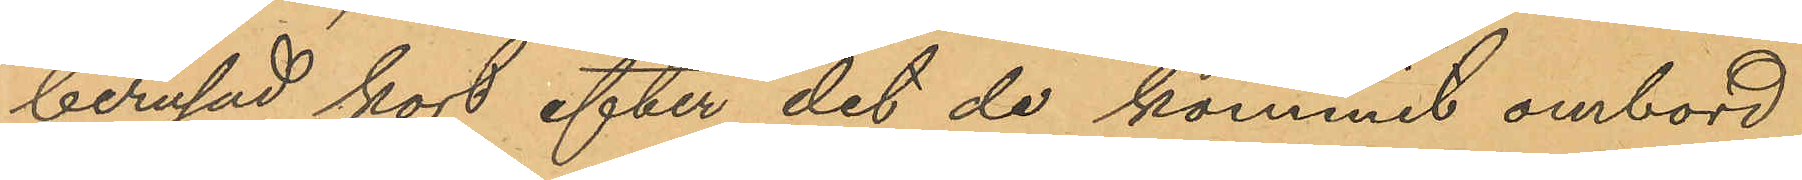berusad, kort efter det de kommit ombord
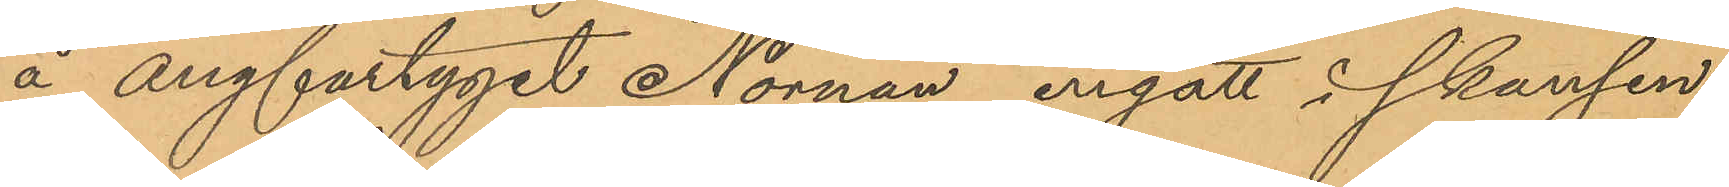å ångfartyget "Nornan" ingått i skansen
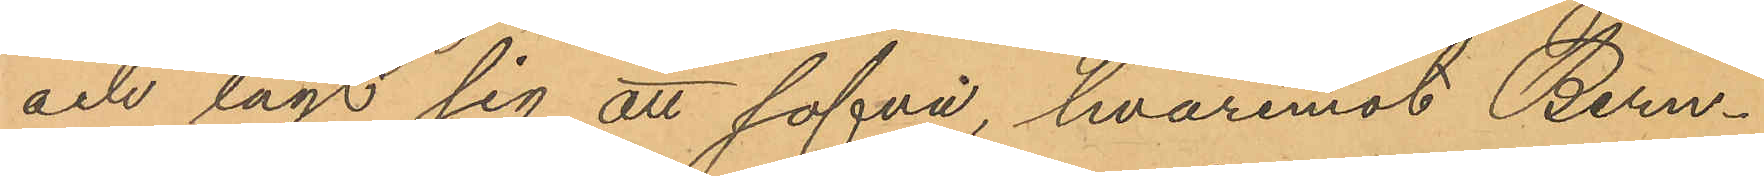och lagt sig att sofva, hvaremot Bern¬
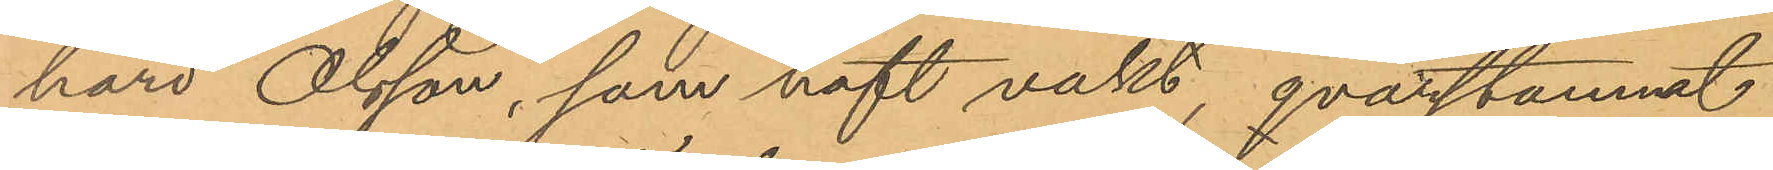hard Olsson, som haft vakt, qvarstamnat
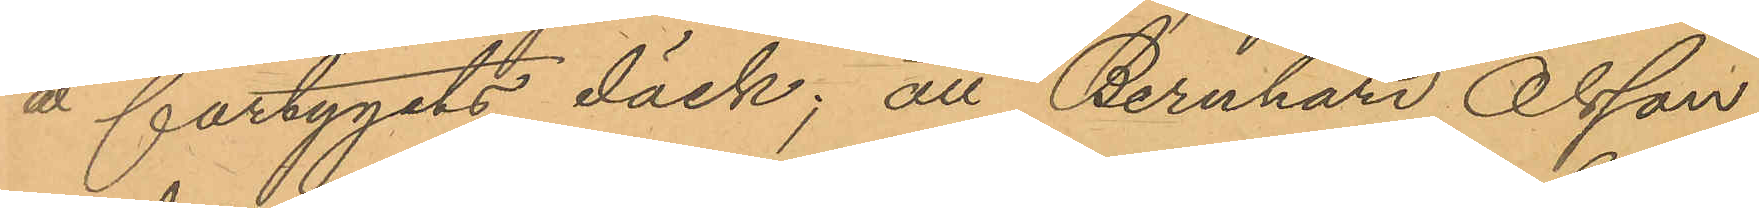å fartygets däck; att Bernhard Olsson
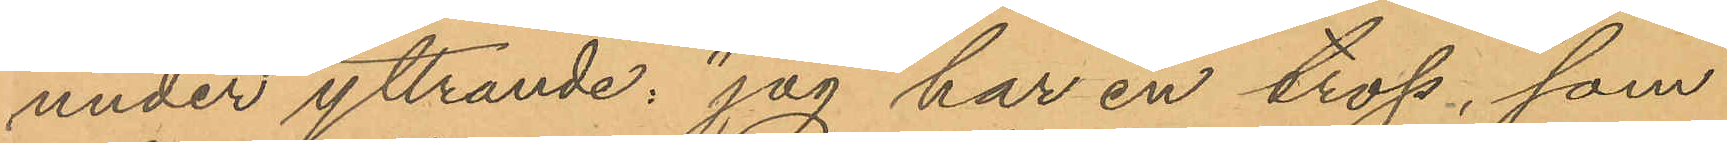under yttrande: "jag har en tross, som
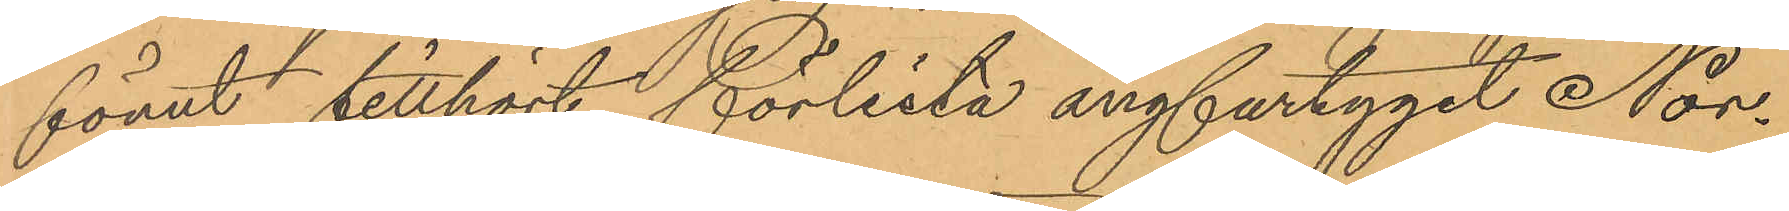förut tillhört förlista ångfartyget Nor¬
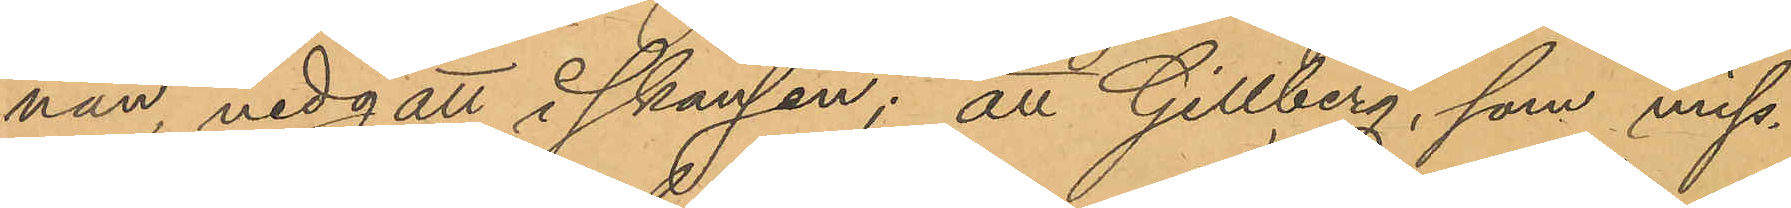nan, nedgått i skansen; att Gillberg, som miss¬
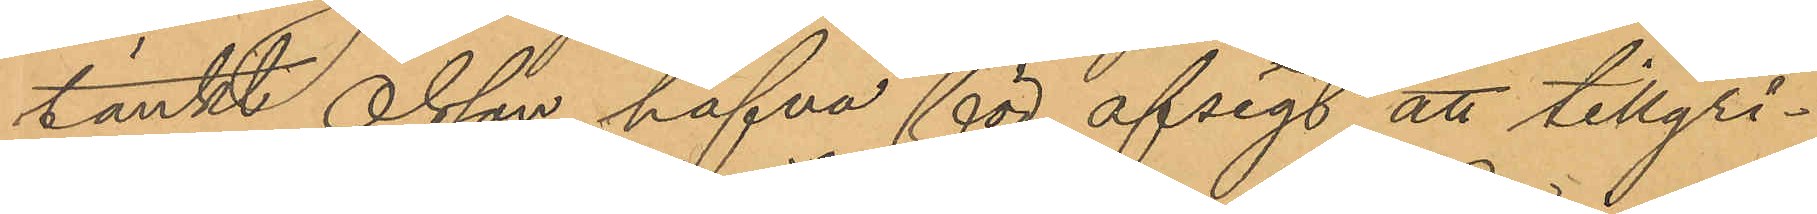tänkt Olsson hafva för afsigt att tillgri¬
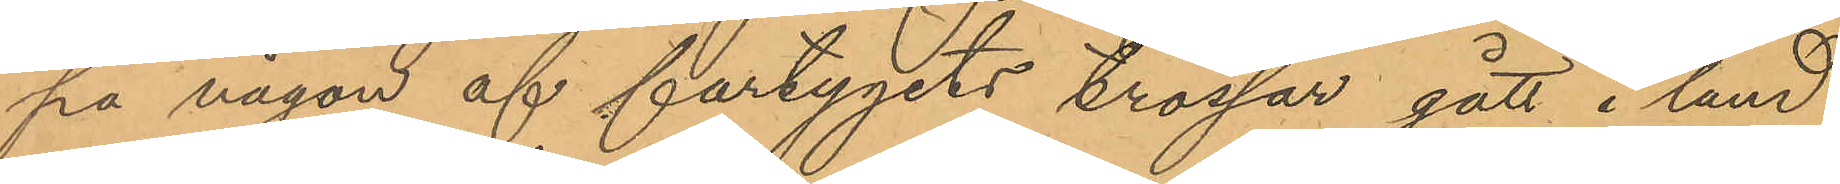pa någon af fartygets trossar gått i land
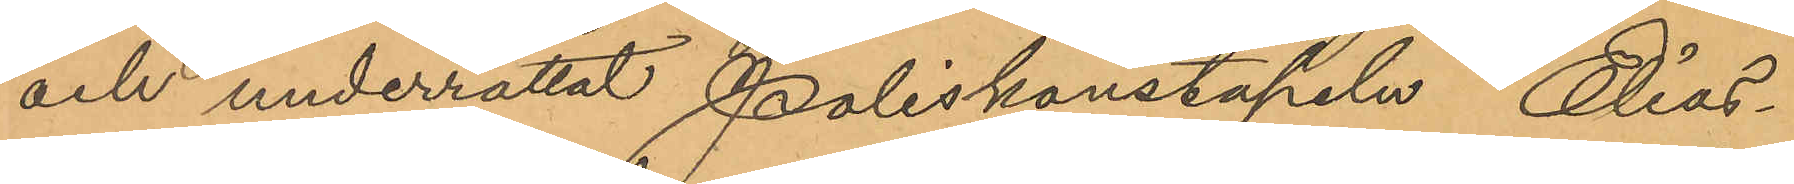och underrättat Poliskonstapeln Elias¬
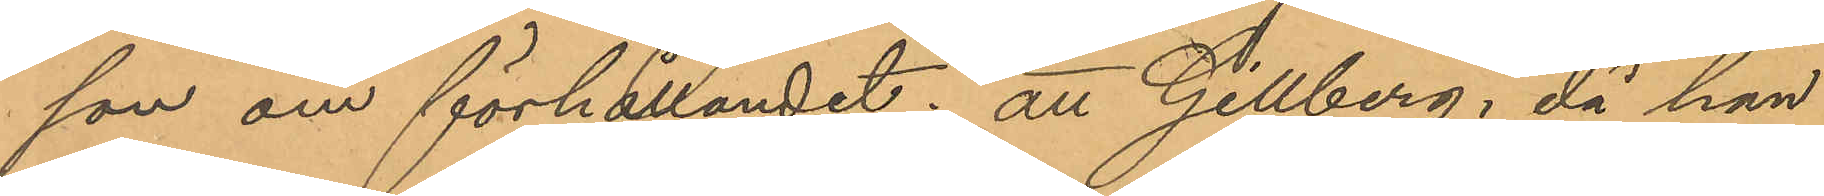son om förhållandet; att Gillberg, då han
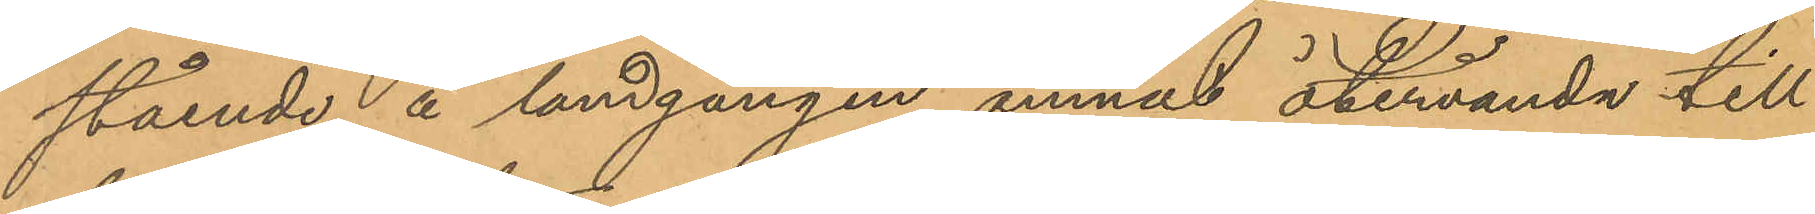stående å landgången ämnat återvända till
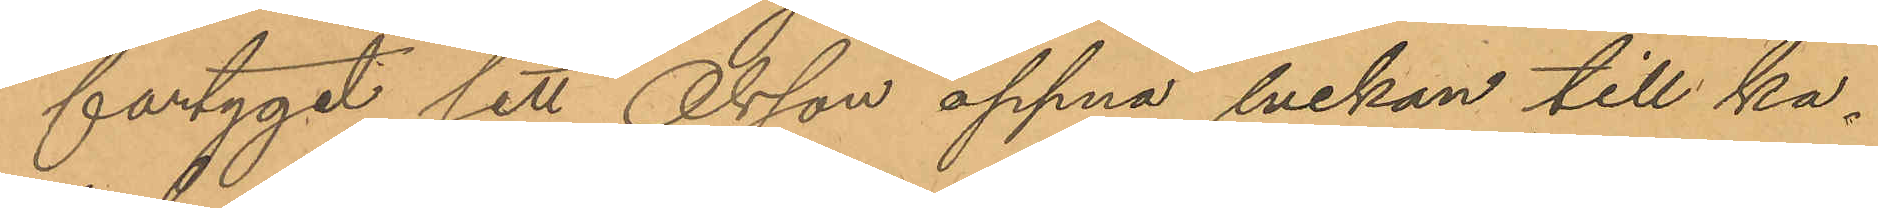fartyget, sett Olsson öppna luckan till ka¬
